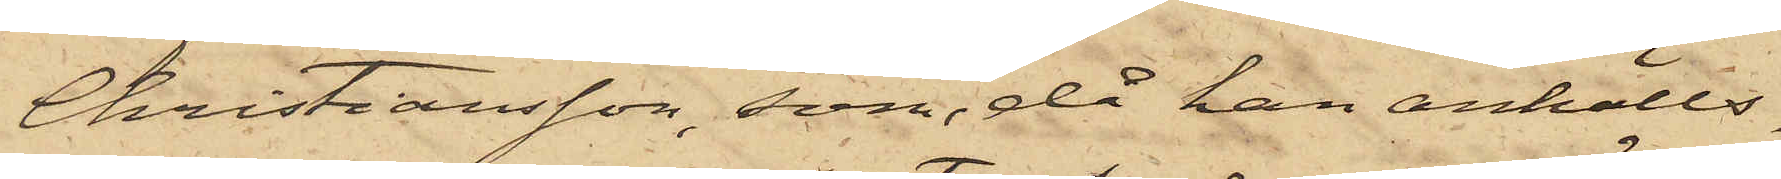Christiansson, som, då han anhölls,
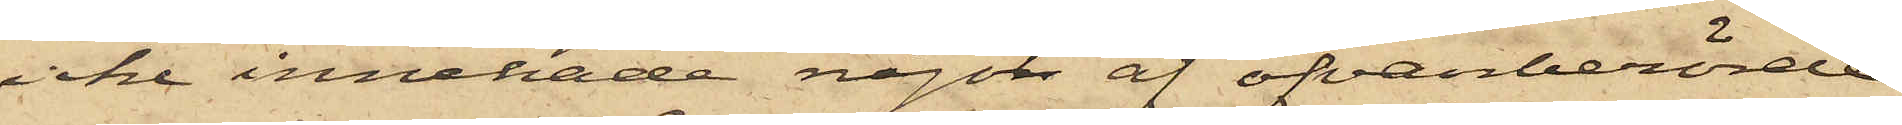icke innehade något af ofvanberörde
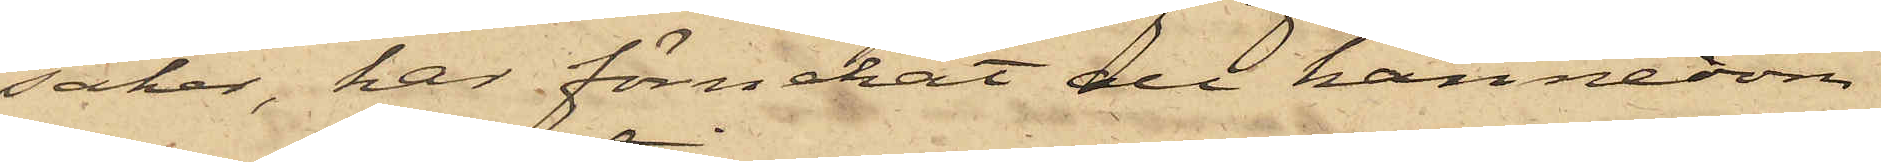saker, har förnekat all kännedom
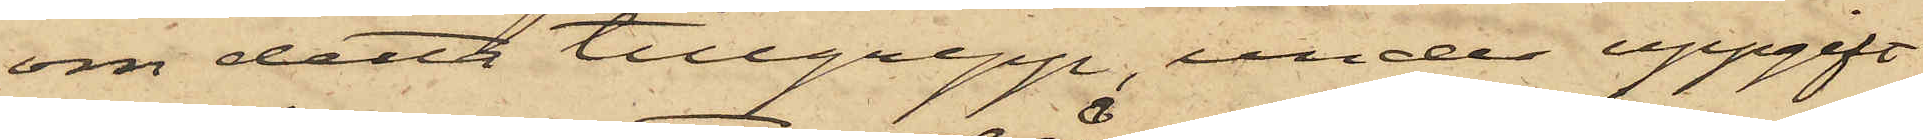om detta tillgrepp, under uppgift
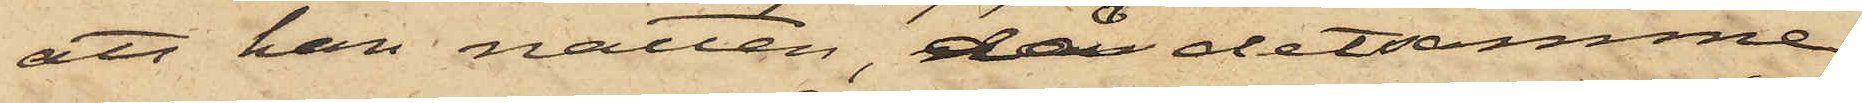att han natten, då detsamma
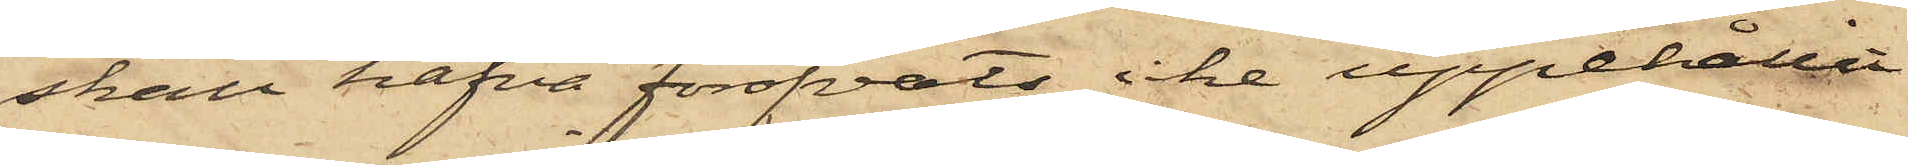skall hafva föröfvats icke uppehållit
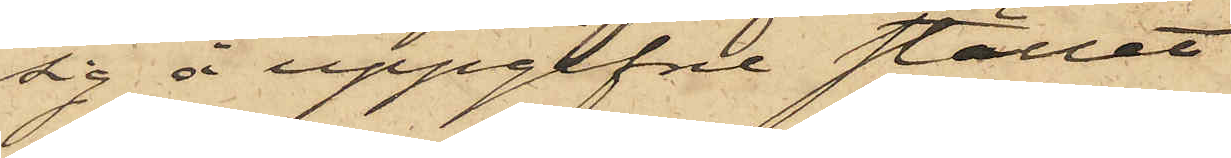sig å uppgifne stället
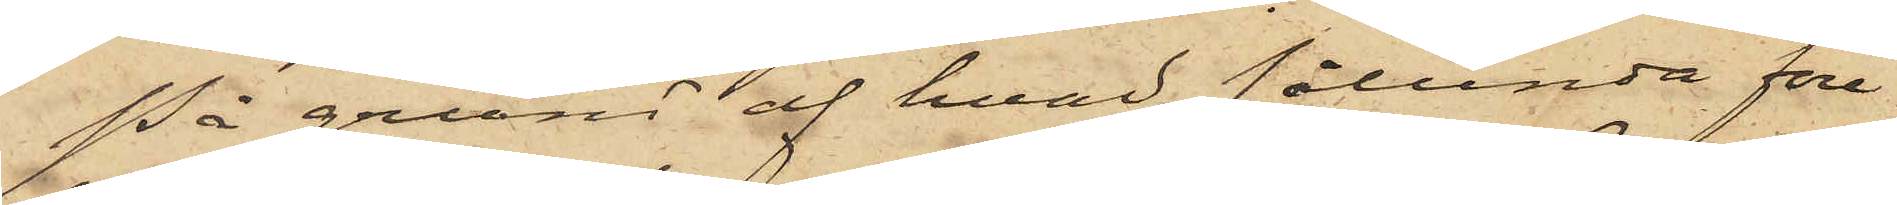På grund af hvad sålunda före¬
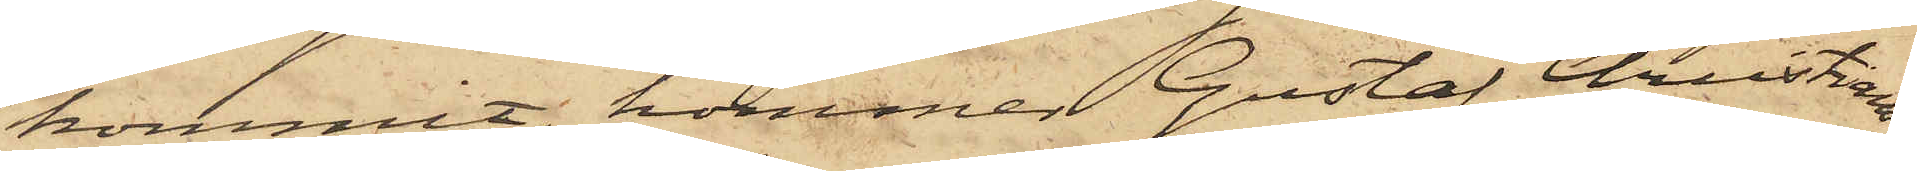kommit, kommer Gustaf Christians¬
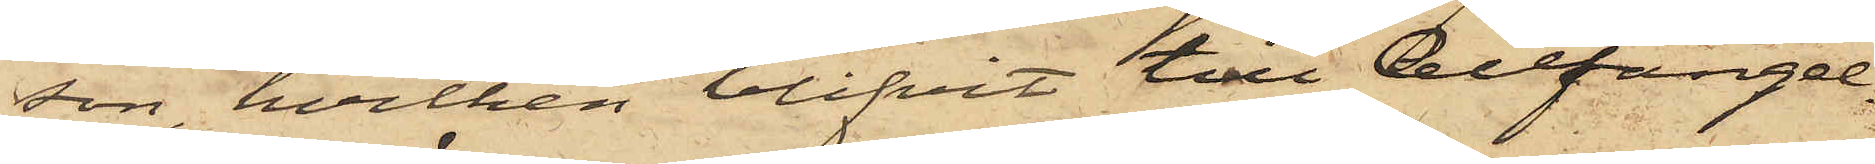son, hvilken blifvit till Cellfängel¬
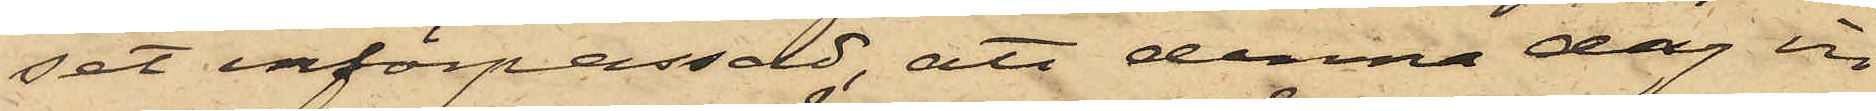set införpassad, att denna dag in¬
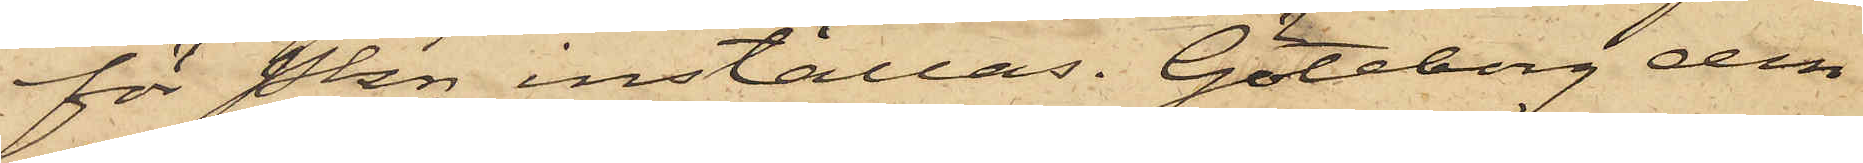för Pkn inställas. Göteborg den
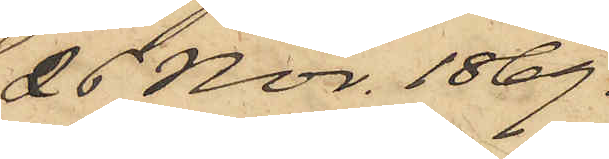26 Nov. 1869.
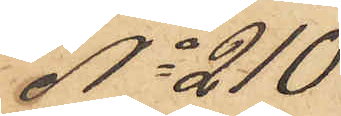No 210
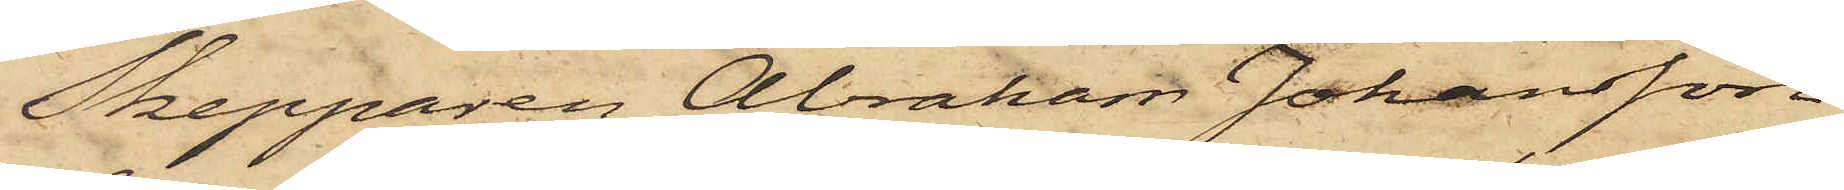Skepparen Abraham Johansson
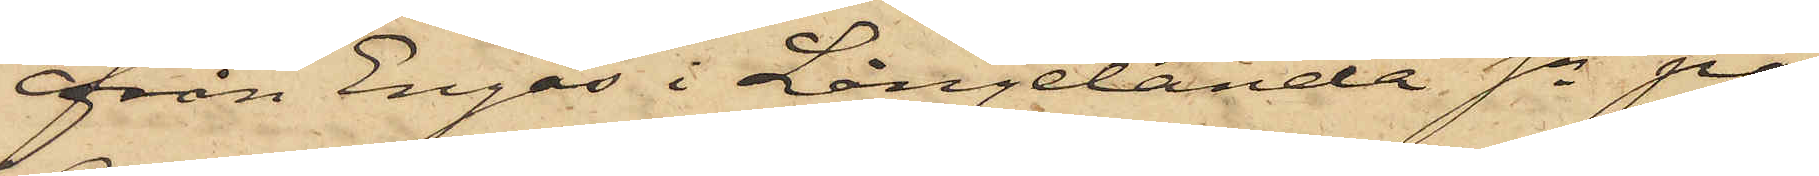från Engås i Långelanda Sn på
